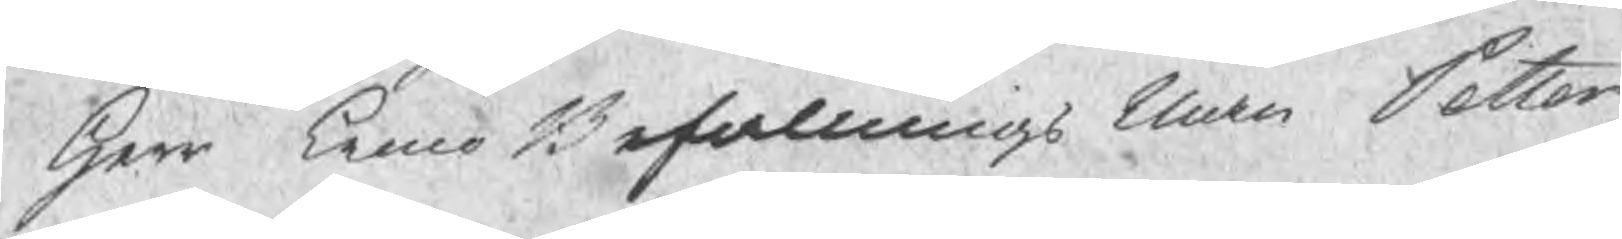Herr Crono Befallnings Man Petter
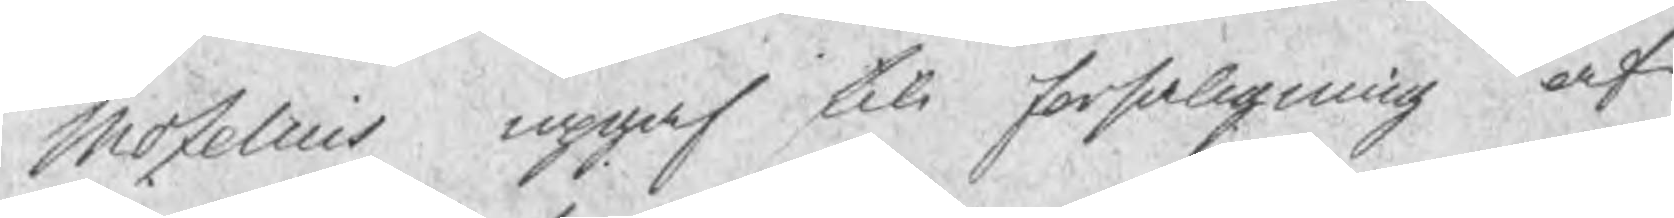Mozelius upgaf till forsaljning af
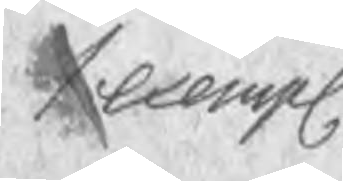1 exempl.
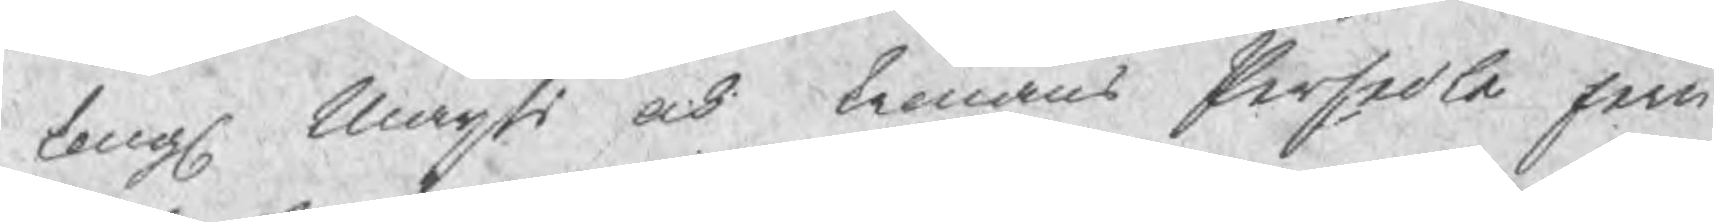Kongl Maijts och kronans Persedle jern
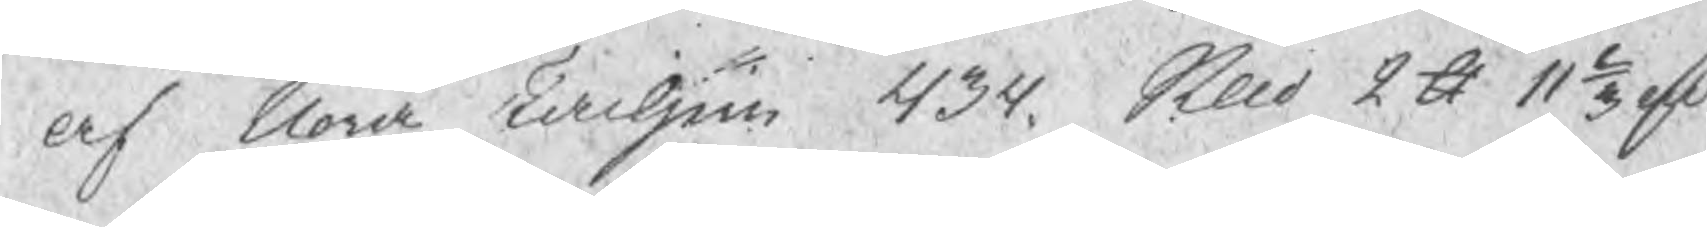af Nora Tackjern 434. Skd 2 ℔ 11 2/3 sd
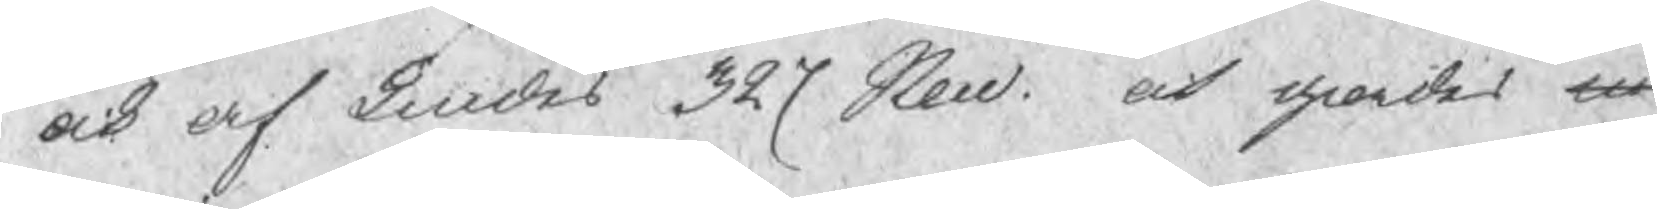ock af Lindes 327 Skl. och giordes m
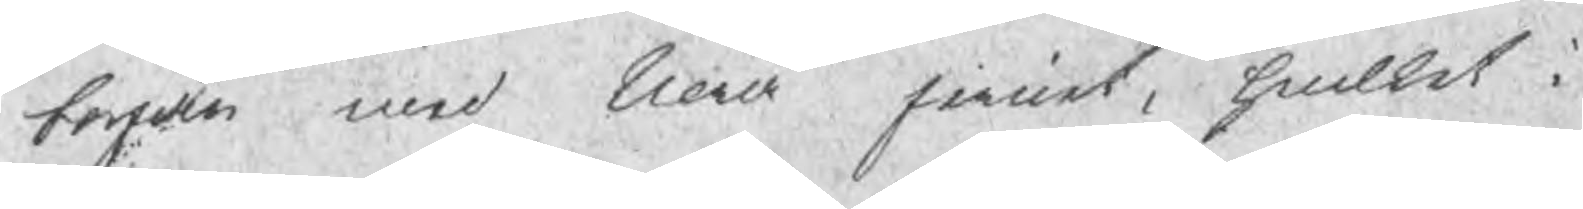borjan med Nora jernet, huilket i
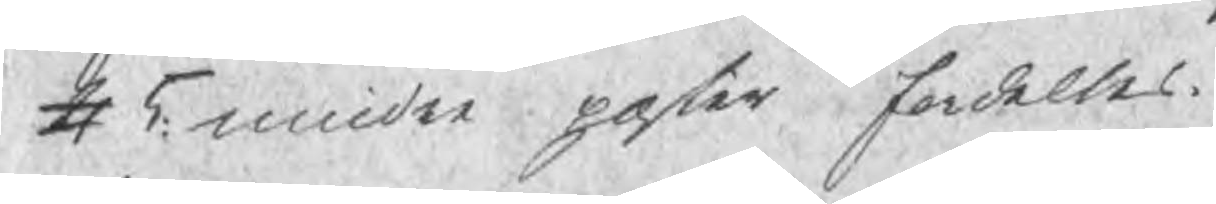4 5 mindre poster fordeltes.
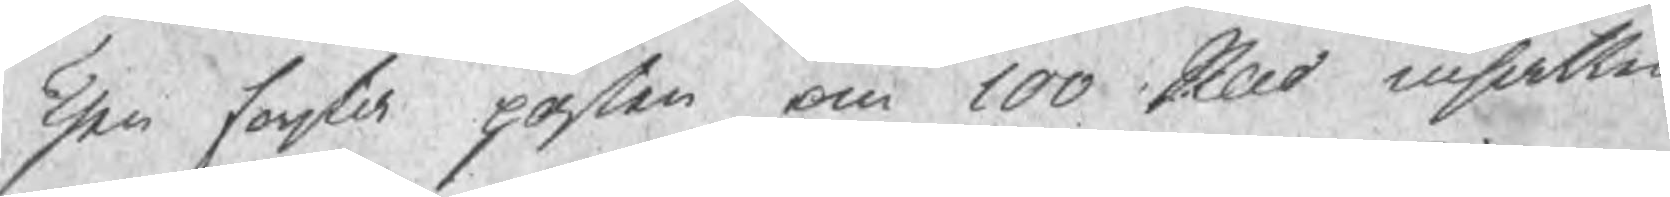Then forsta posten om 100 Sld insattes
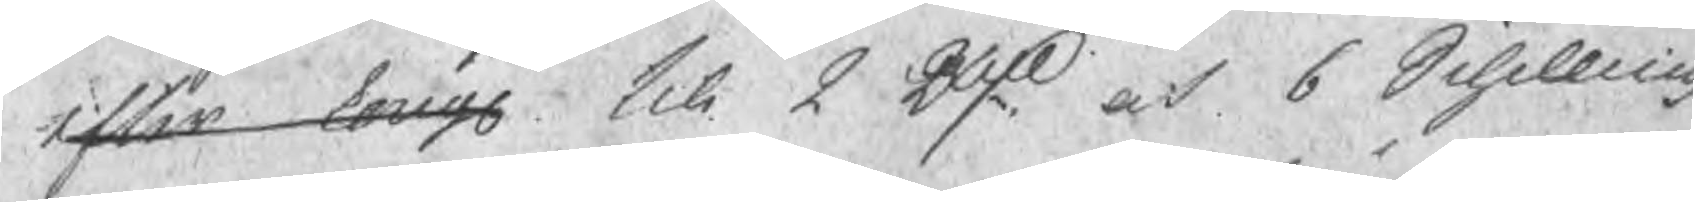efter Kongl till 2 Rdr och 6 Schilling
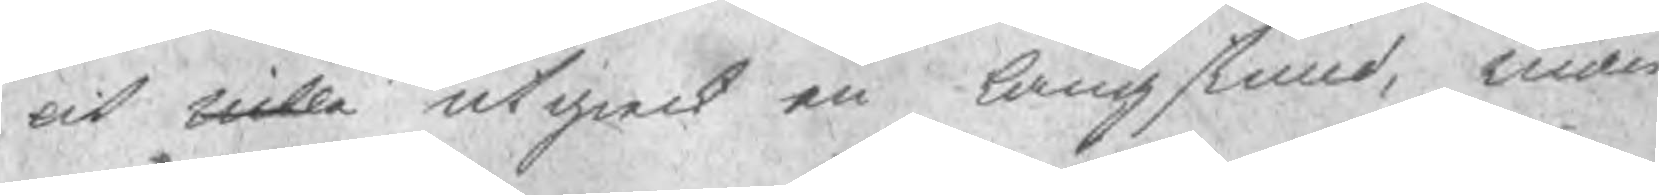och uille utgieck en lång stund, inan
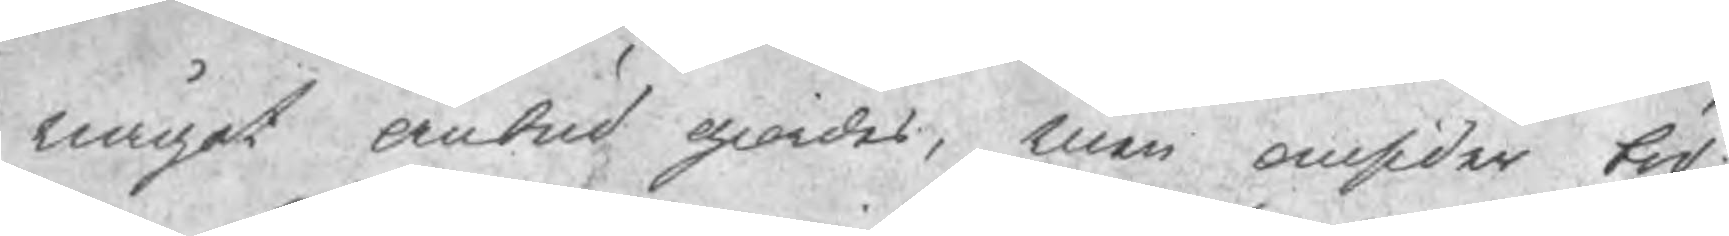något anbud giordes, men omsider bid
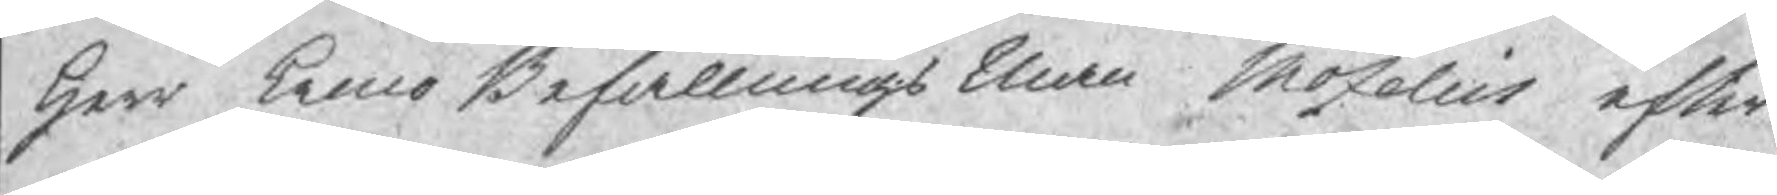Herr krono Befallnings Man Mozelius efter
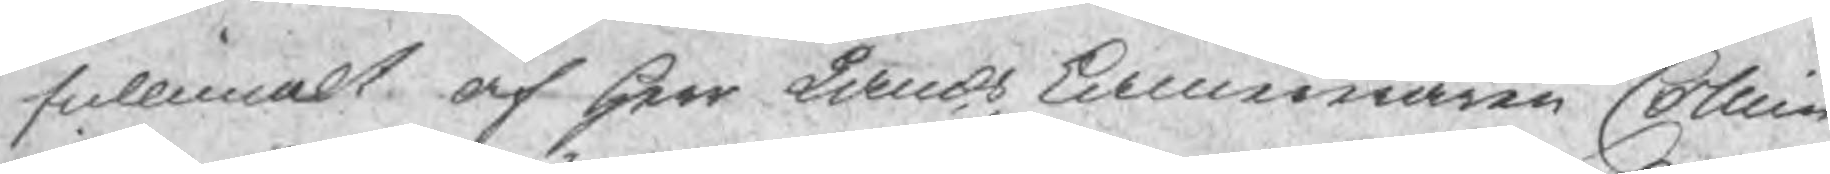fullmakt af Herr Lands Kamereraren Collin
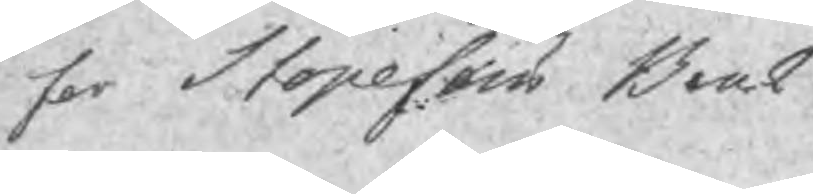for Stopefors Bruk
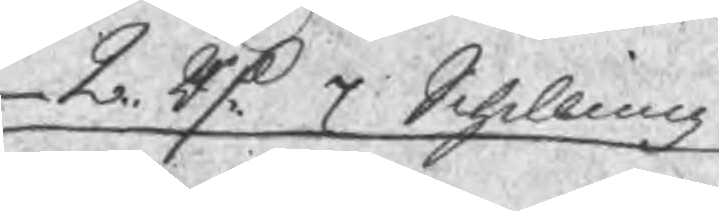2. Rd 7 Schilling
